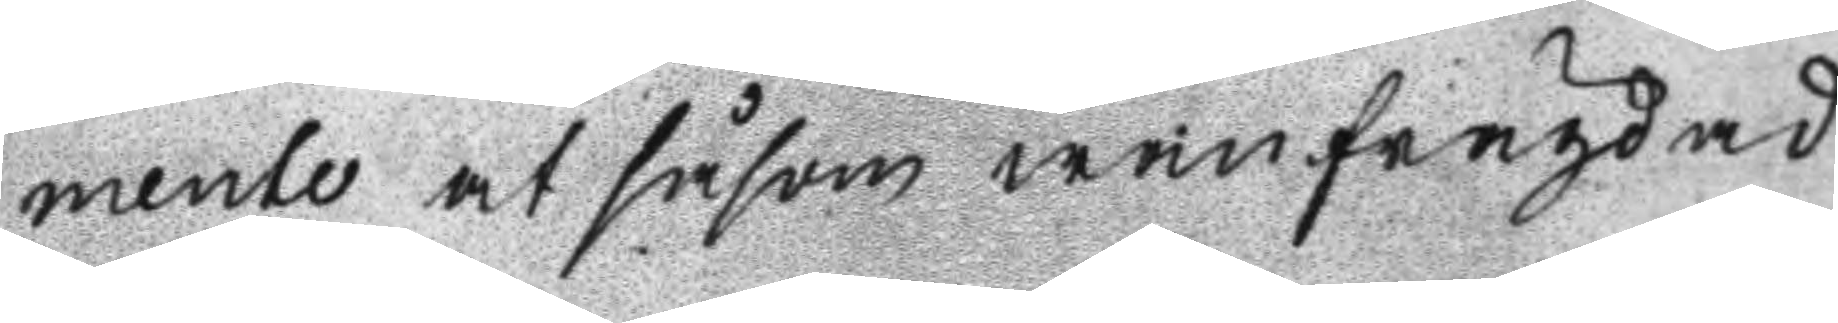mente at såsom wanfrägdad
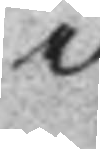i
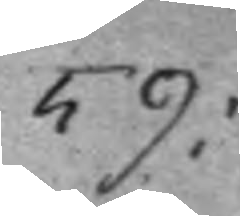59:
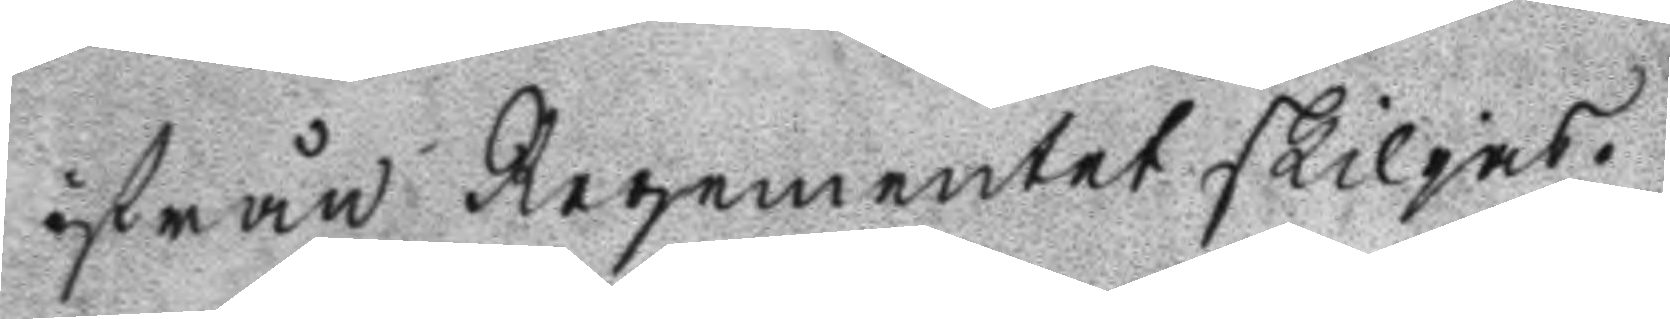ifrån Regementet skiljas.
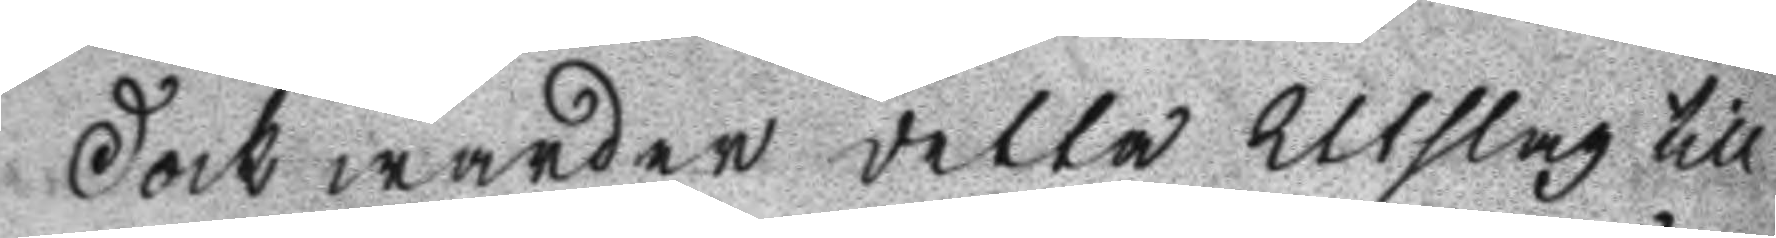Dock warder detta Utslag till
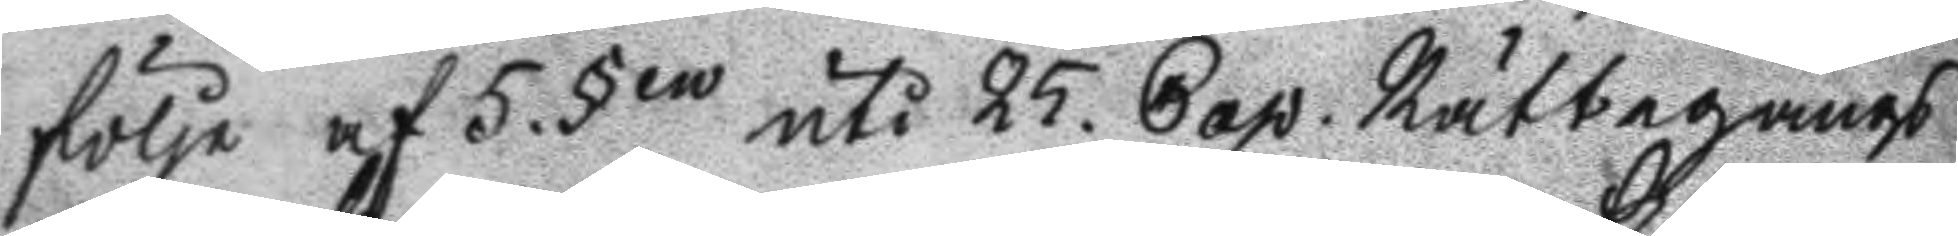följe af 5. §en uti 25. Cap. Rättegångs
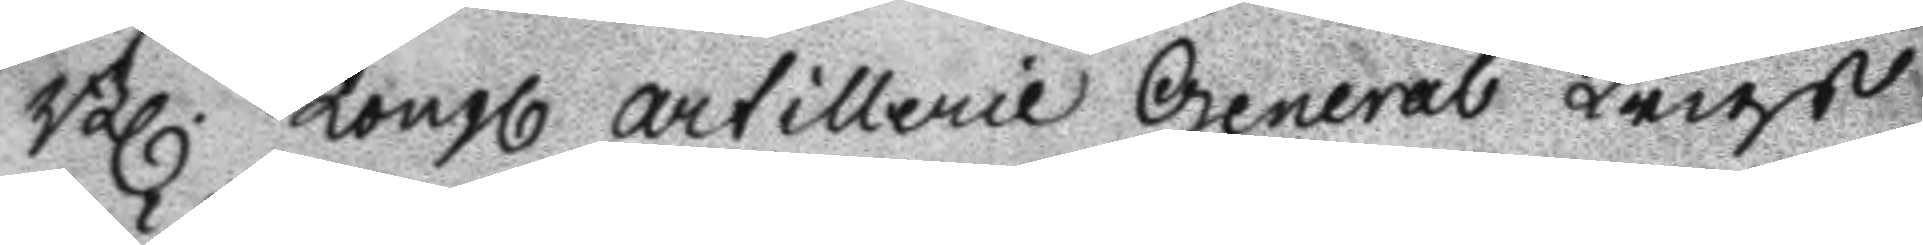Bl. Kongl artillerie General Krigs
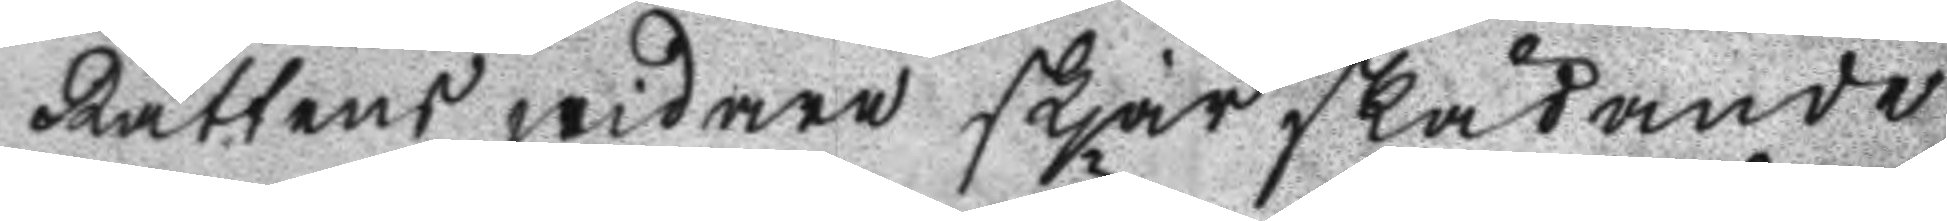Rättens widare skjärskådande
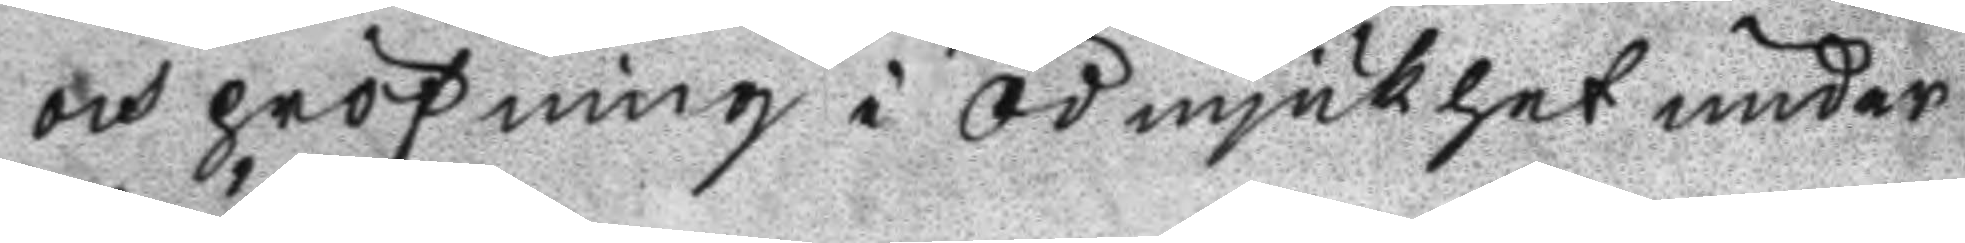och pröfning i ödmjukhet under
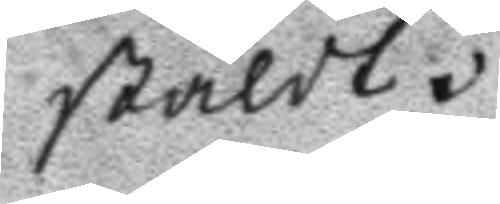stäldt.
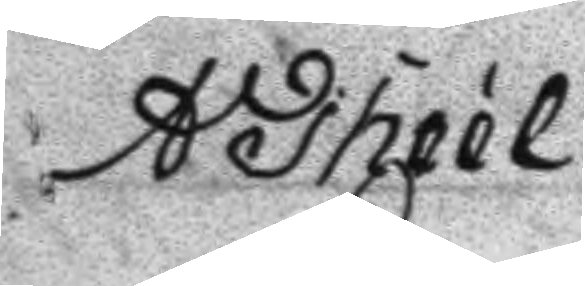A Theél
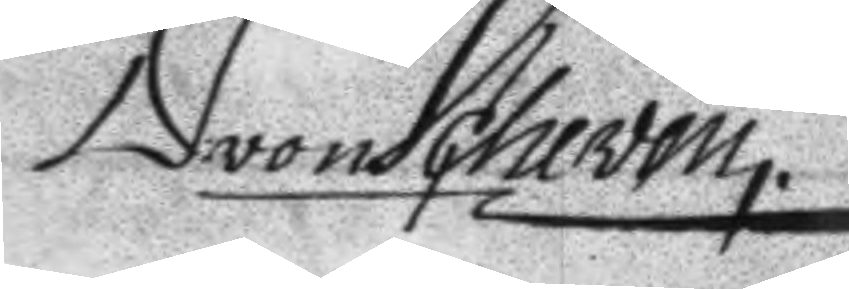D von Scheven.
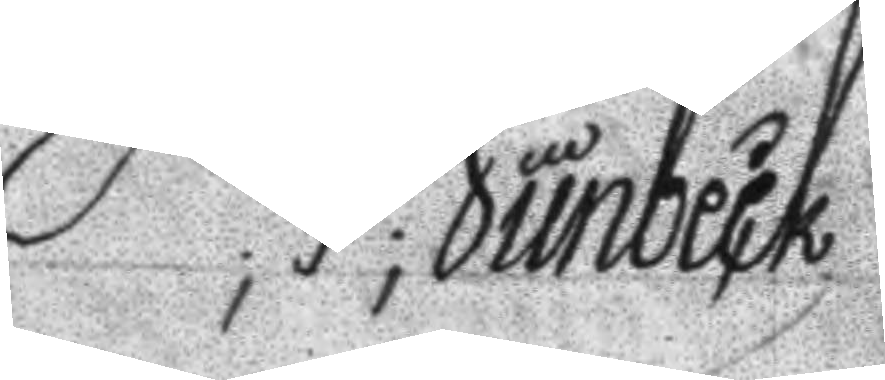P;J;Junbeck
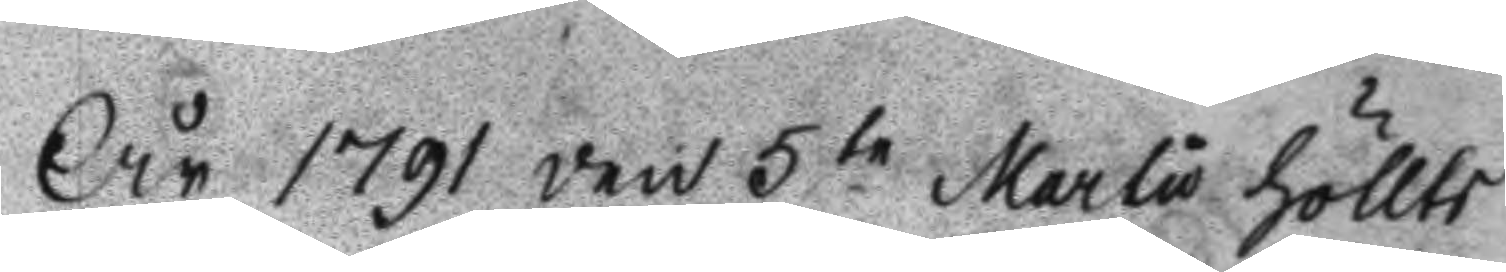År 1791 den 5te Martio höllts
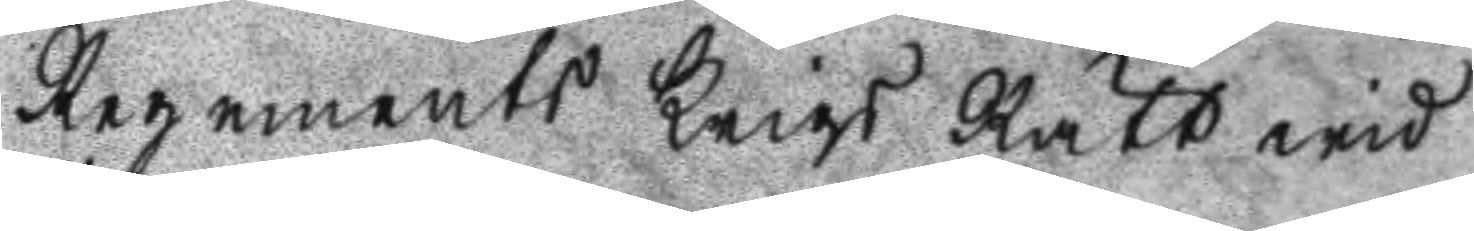Regements Krigs Rätt wid
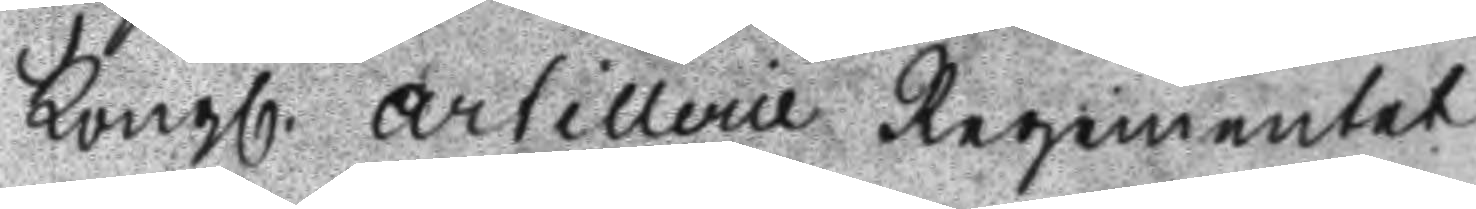Kongl. Artillerie Regementet
